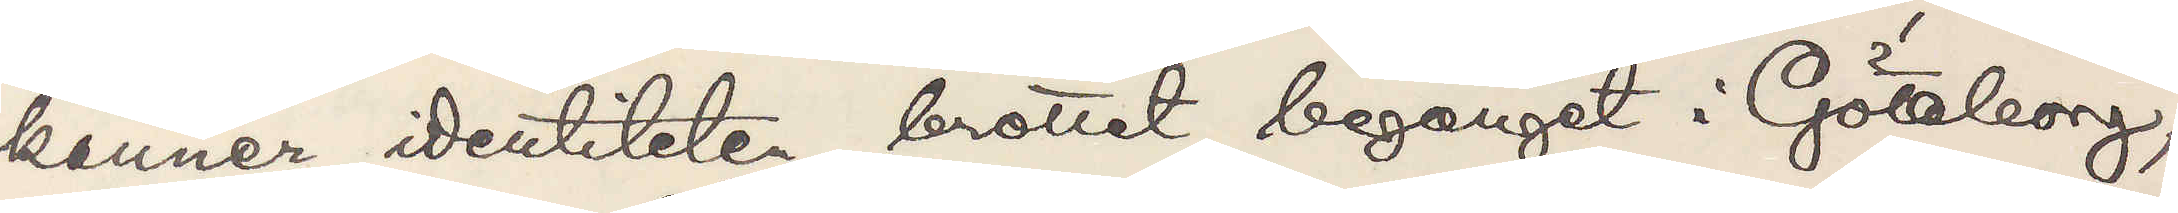känner identiteten, brottet begånget i Göteborg,
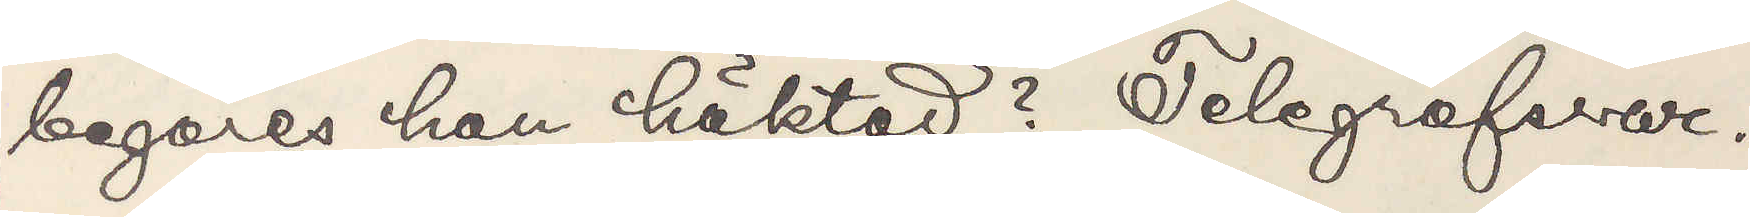begäres han häktad? Telegrafsvar.
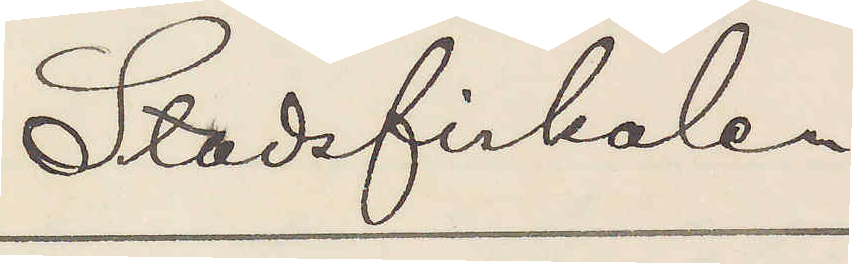Stadsfiskalen
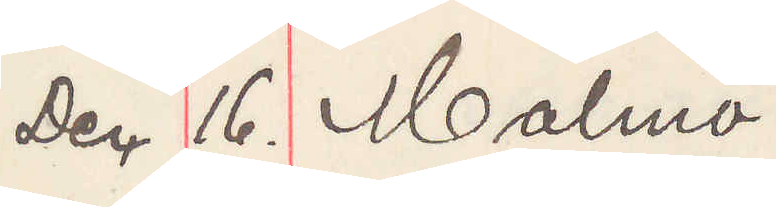Dec 16. Malmö
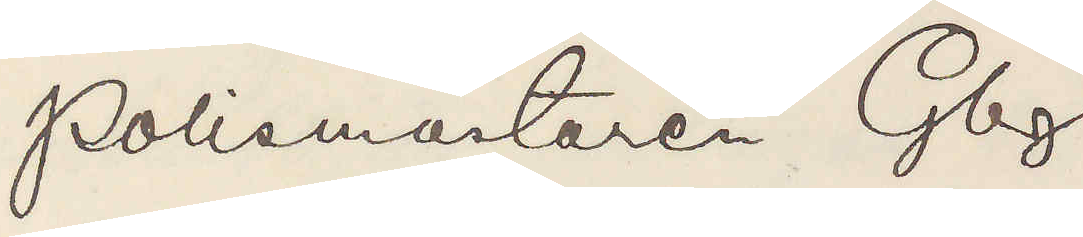Polismästaren Gbg
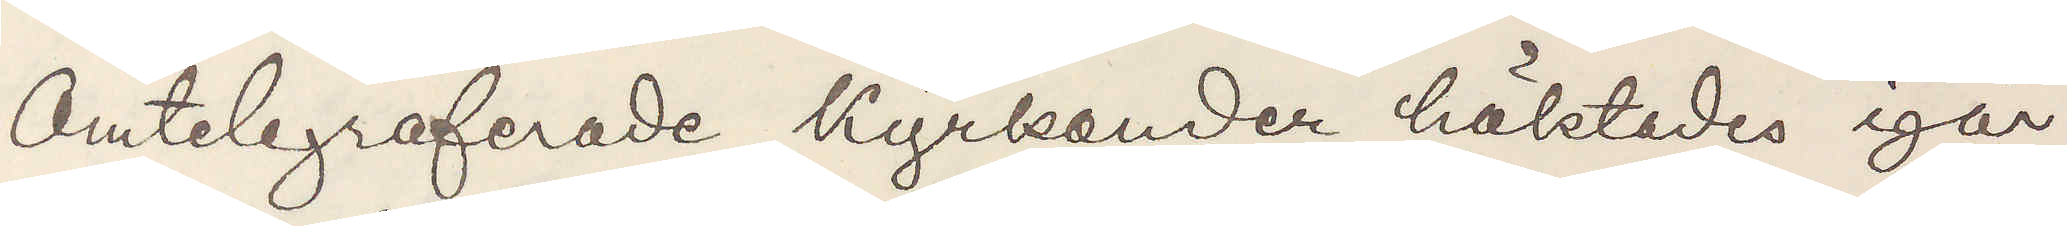Omtelegraferade Kyrkander häktades igår
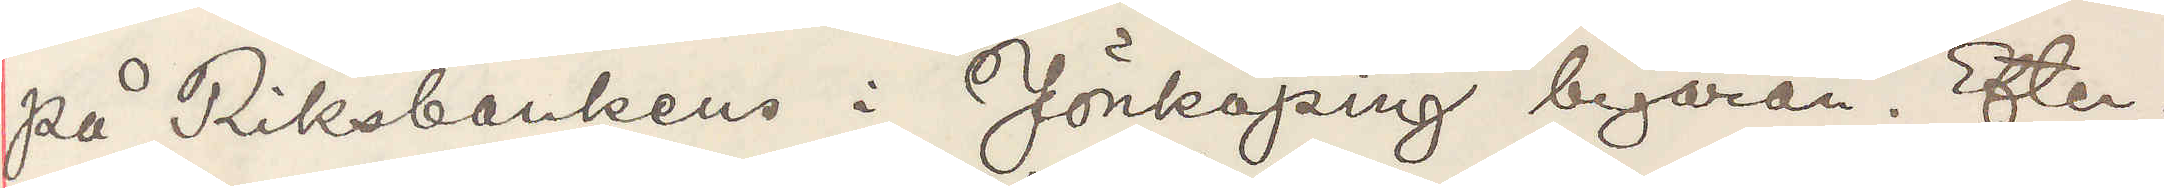på Riksbankens i Jönköping begäran. Efter¬
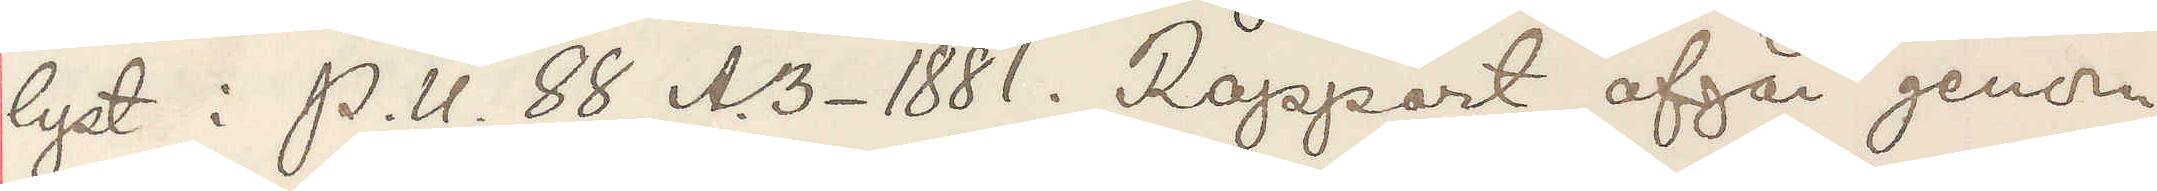lyst i P. U. 88 A. 3- 1881. Rapport afgår genom
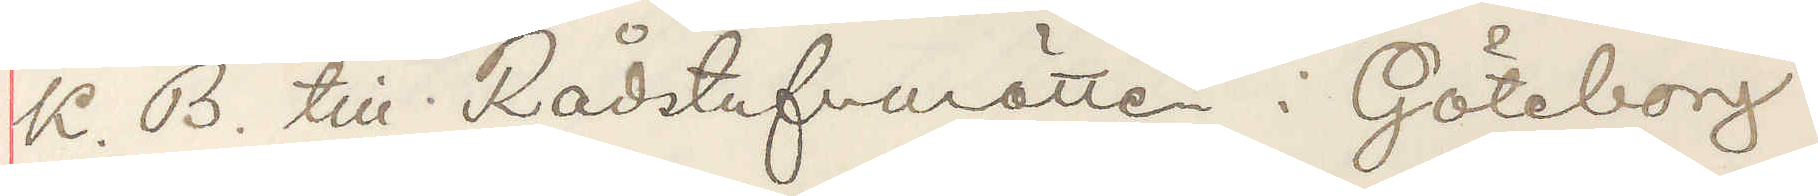K. B. till Rådstufvurätten i Göteborg
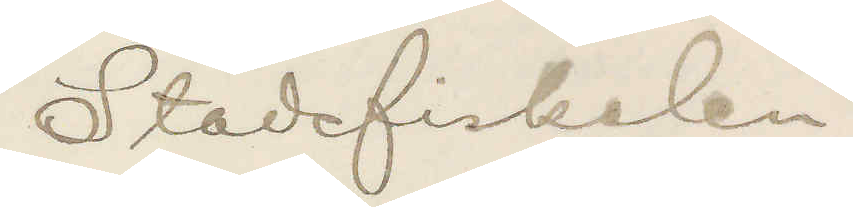Stadsfiskalen.
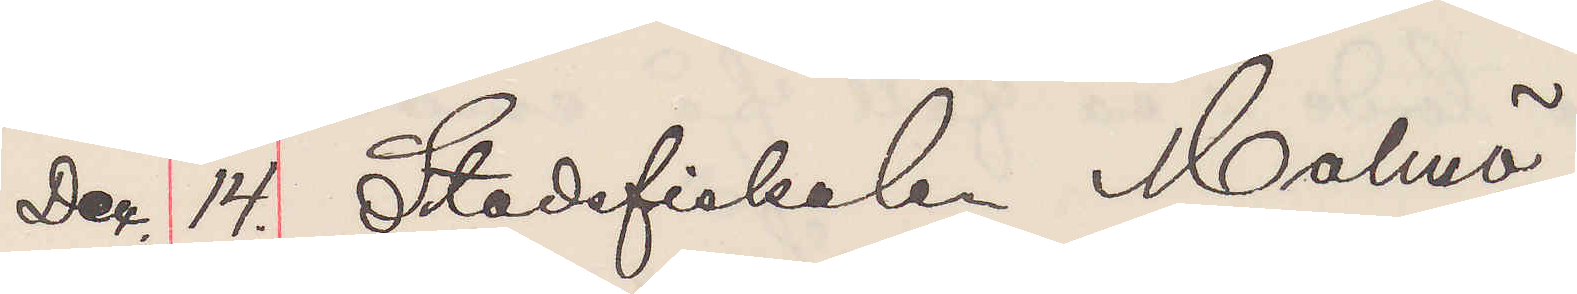Dec 14. Stadsfiskalen Malmö
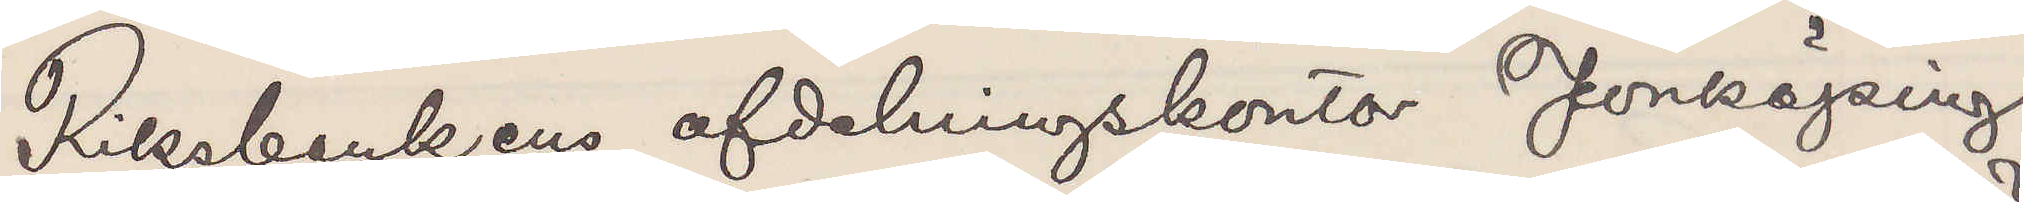Riksbankens afdelningskontor Jönköping
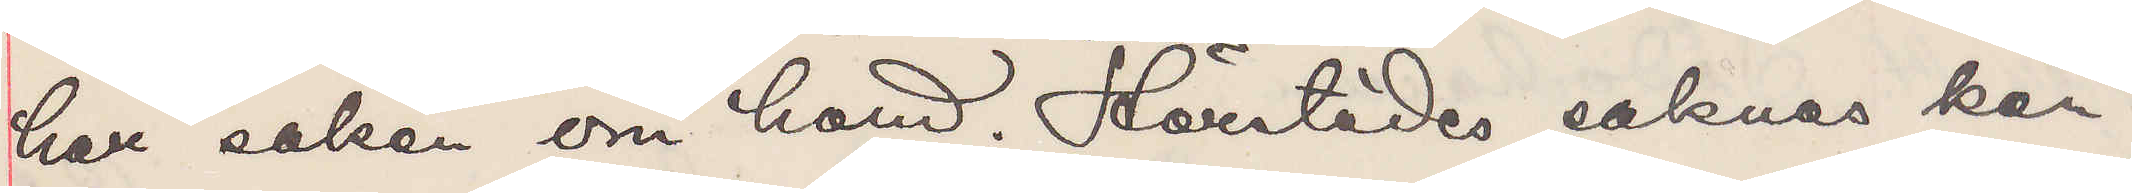har saken om hand. Härstädes saknas kän¬
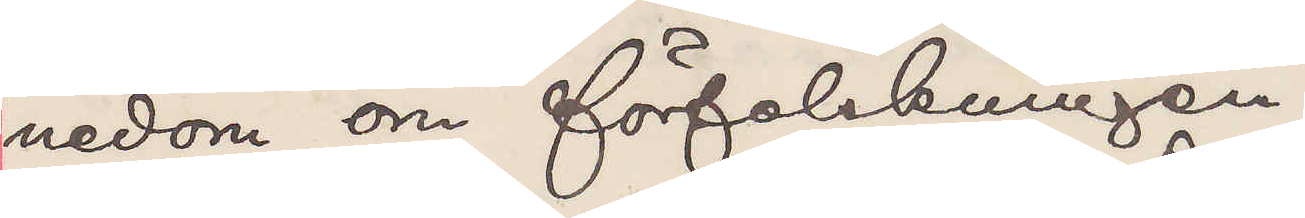nedom om förfalskningen.
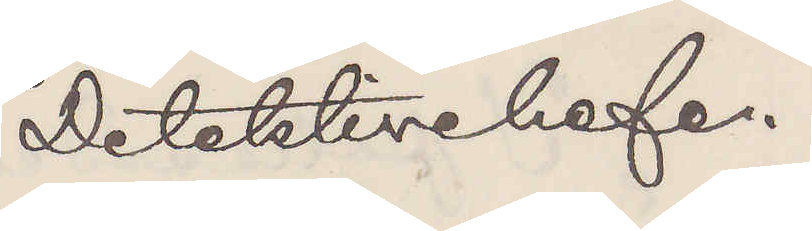Detektivchefen.
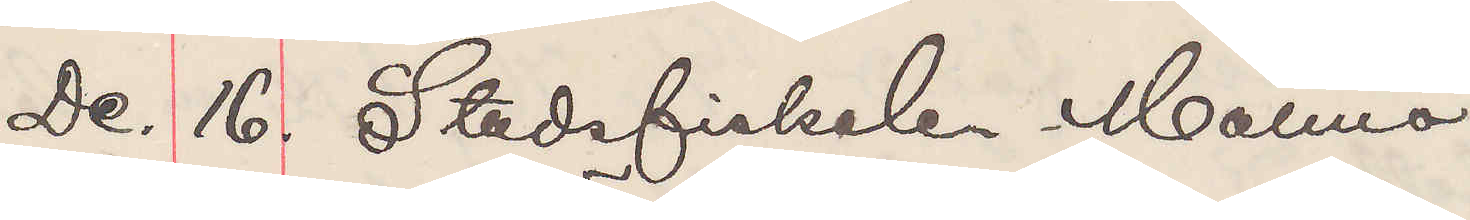De. 16. Stadsfiskalen Malmö
